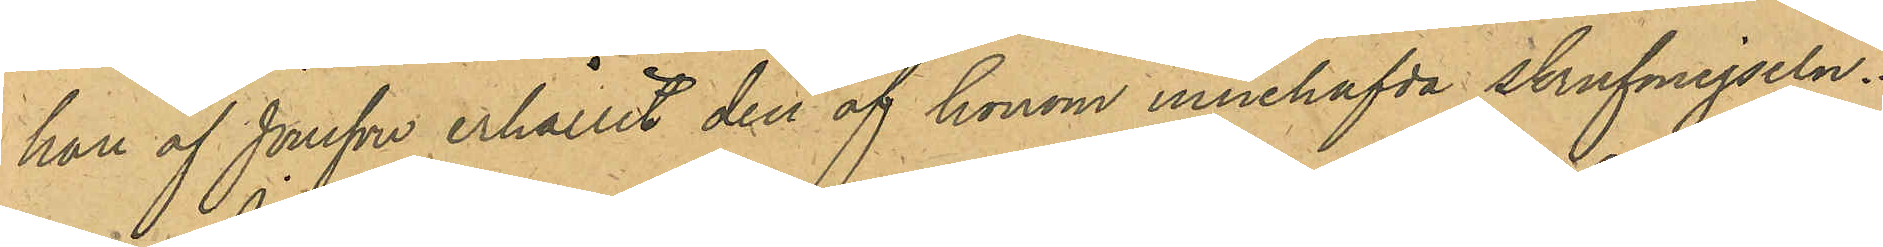han af Jonsson erhållit den af honom innehafda skrufmejseln.
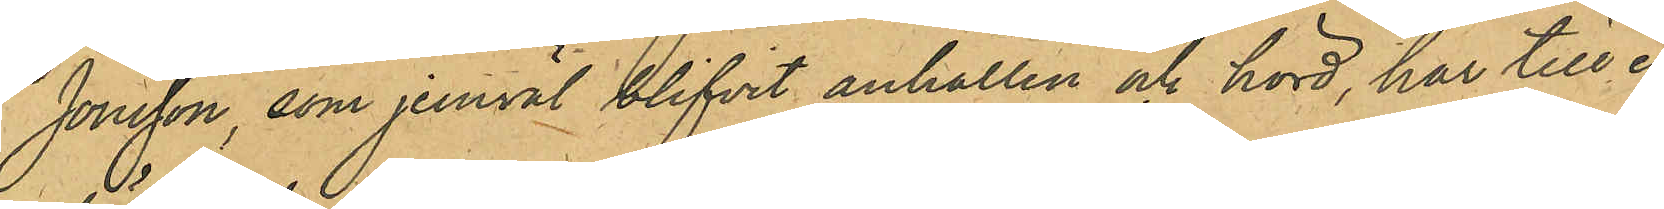Jonsson, som jemväl blifvit anhållen och hörd, har till en
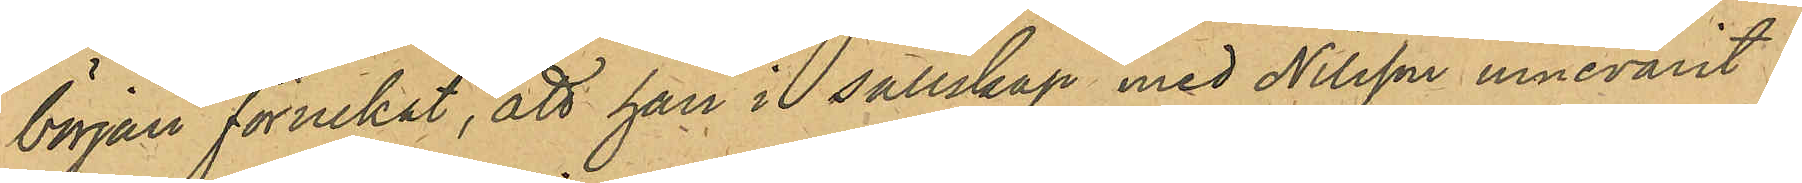början förnekat, att han i sällskap med Nilsson innevarit i
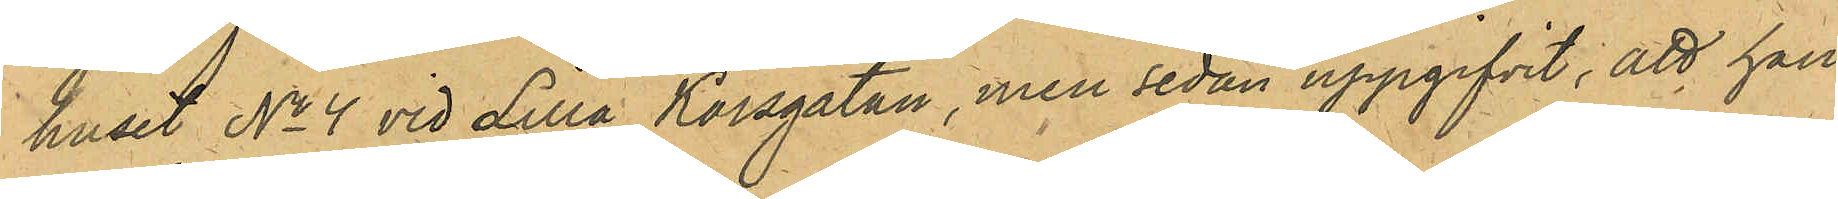huset No 4 vid Lilla Korsgatan, men sedan uppgifvit, att han
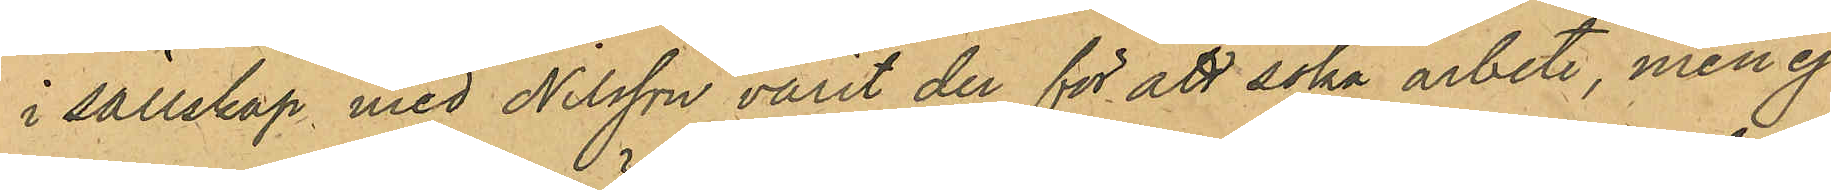i sällskap med Nilsson varit der för att söka arbete, men ej
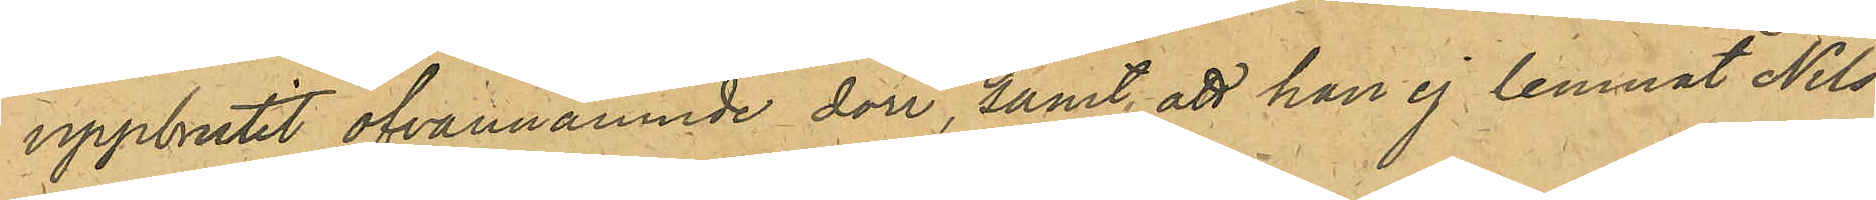uppbrutit ofvannämnde dörr, samt att han ej lemnat Nils¬
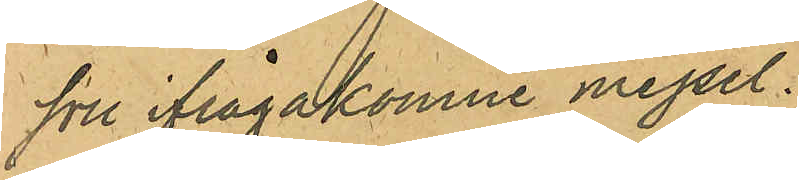son ifrågakomne mejsel.
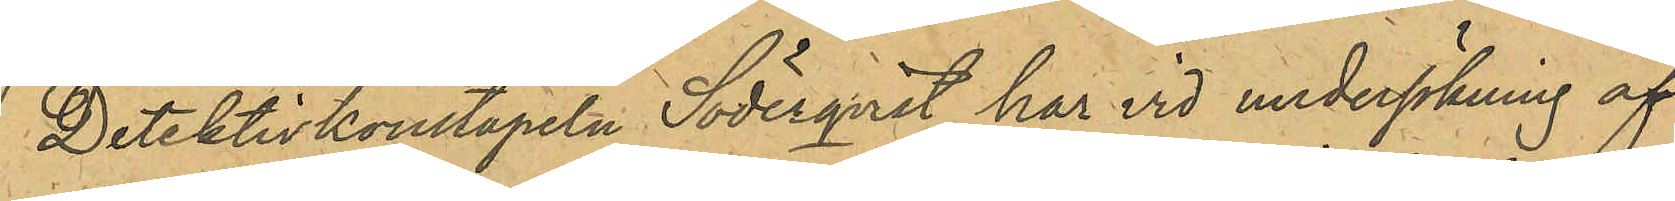Detektivkonstapeln Söderqvist har vid undersökning af
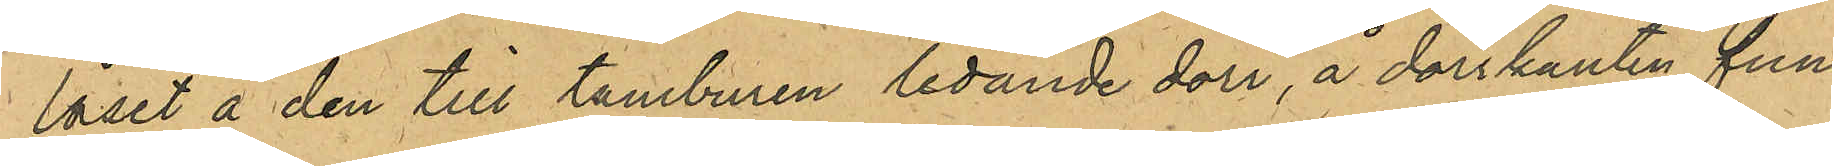låset å den till tamburen ledande dörr, å dörrkanten fun¬
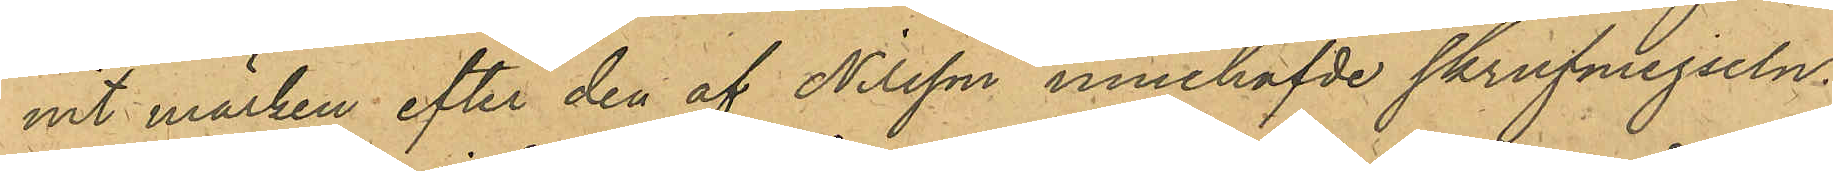nit märken efter den af Nilsson innehafde skrufmejseln.
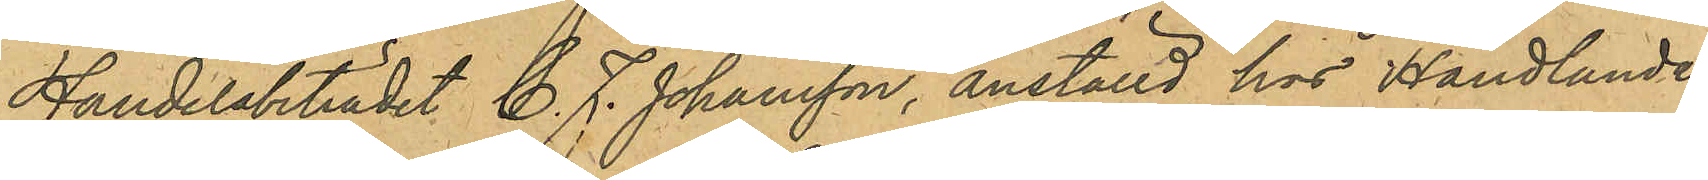Handelsbiträdet C. J. Johansson, anställd hos Handlanden
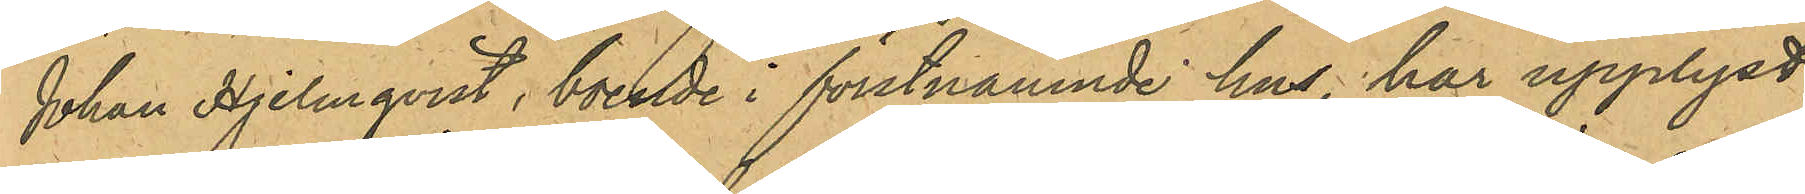Johan Hjelmqvist, boende i förstnämnde hus, har upplyst,
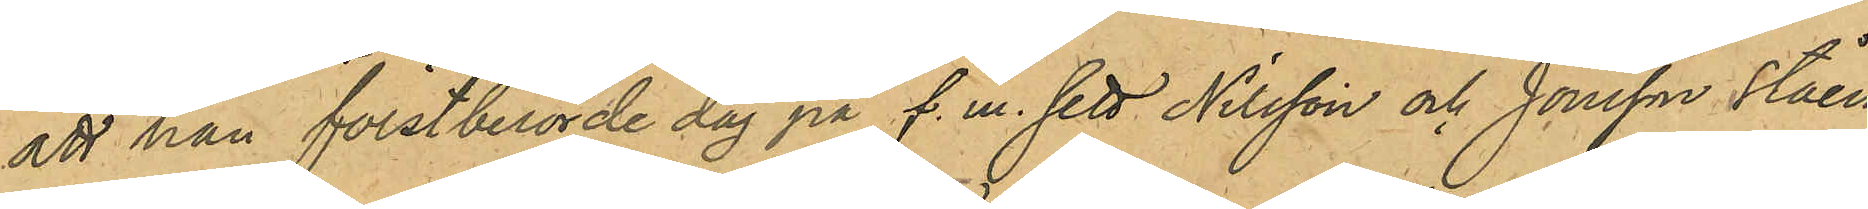att han förstberörde dag på f. m. sett Nilsson och Jonsson ståen¬
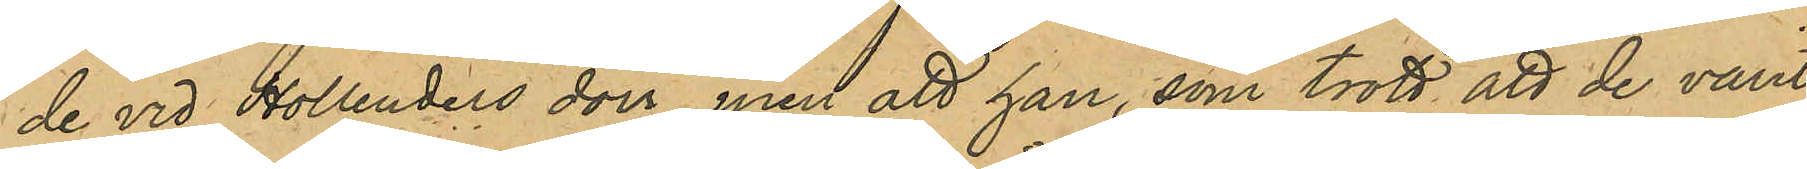de vid Hollenders dörr, men att han, som trott att de varit
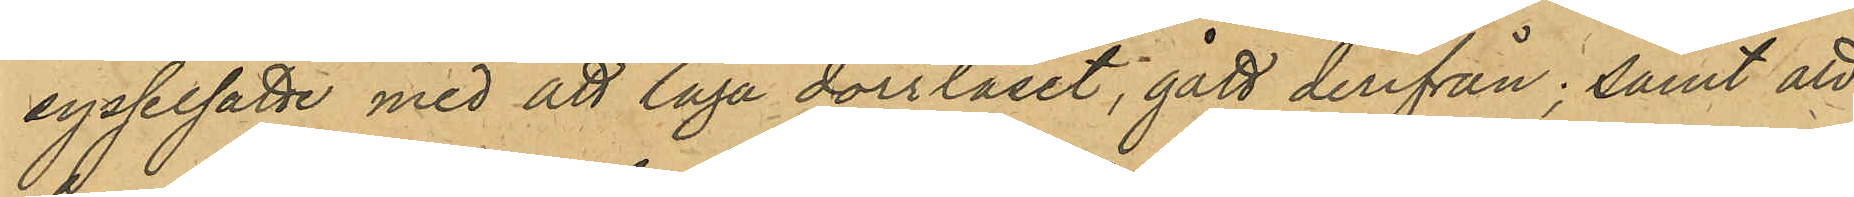sysselsatte med att laga dörrlåset, gått derifrån; samt att
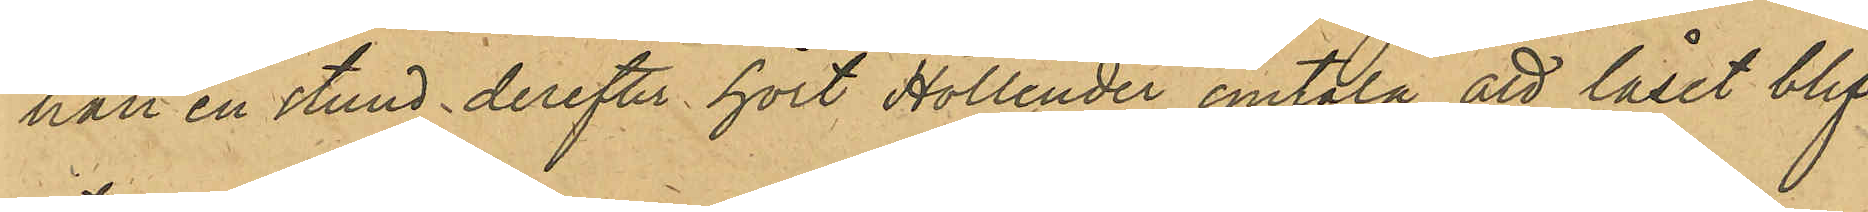nat en stund derefter hört Hollender omtala, att låset blif¬
